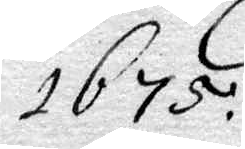1675
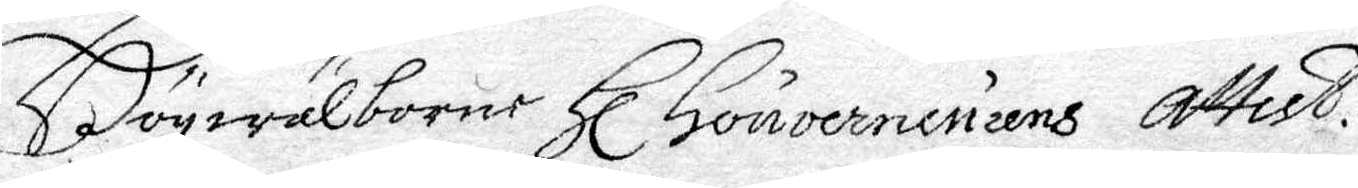Högwälborne Hl. Gouverniurens Attest.
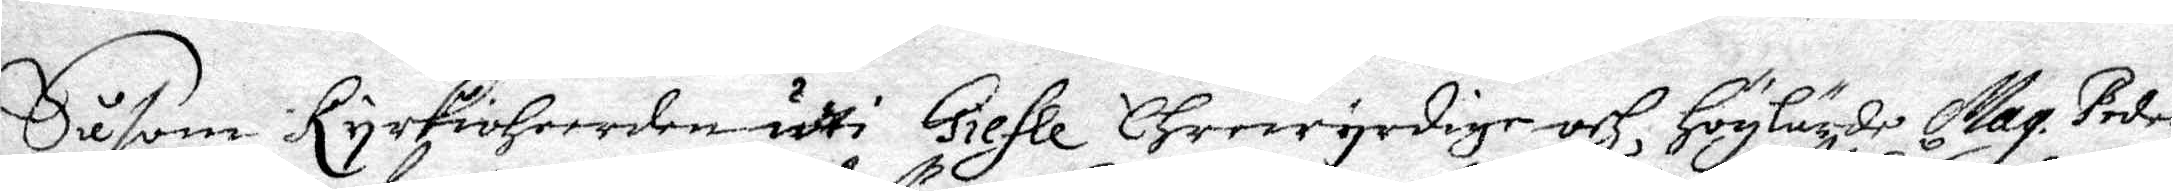Såsom Kyrkioheerden udti Giefle Ehrewyrdige och Höglärde Mag. Peder
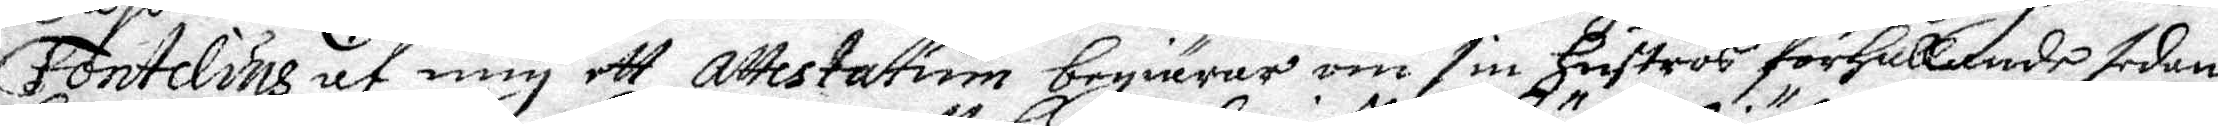Fontelins af mig ett attestatun begiärar om sin Huströs förhållande sedan
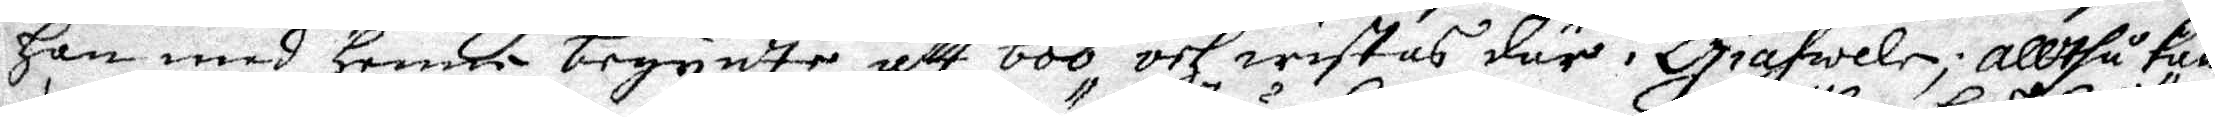han med henne begynte att boo, och wistas där i Giäfwele; Alltså kan
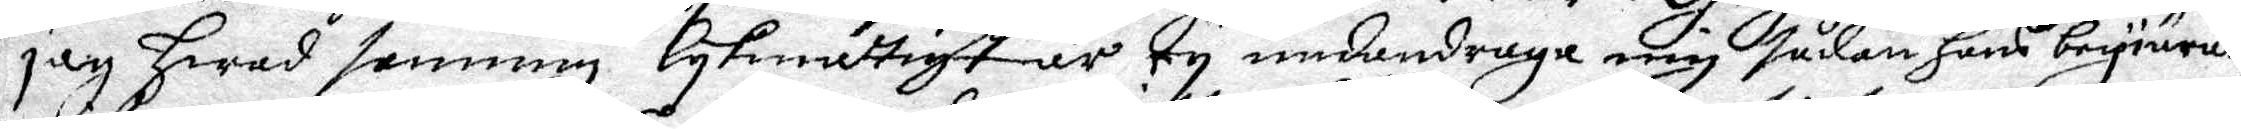jag hwad sanning lykmättigt är ey undandraga mig Sådan hans begiäran,
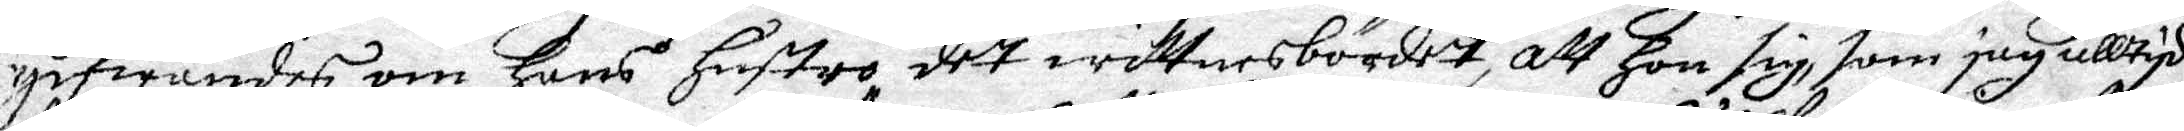gifwandes om hans hustro det wittnes bördet, att hon sig, som jag alltyd
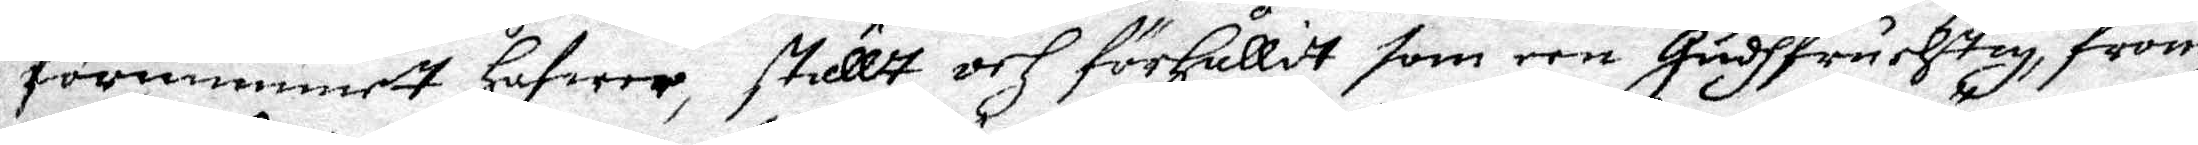förmummett hafwer, ställt och förhållit som een Gudhfruchtig, from
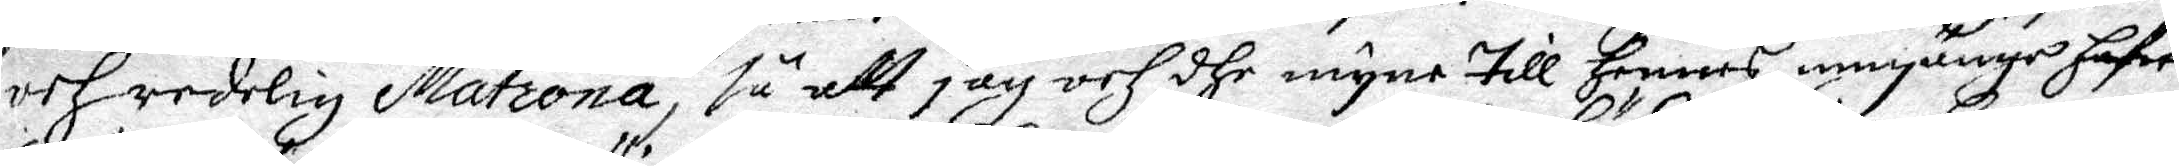och redelig Matrona, så att jag och dhe myne till hennes umgänge hafwa
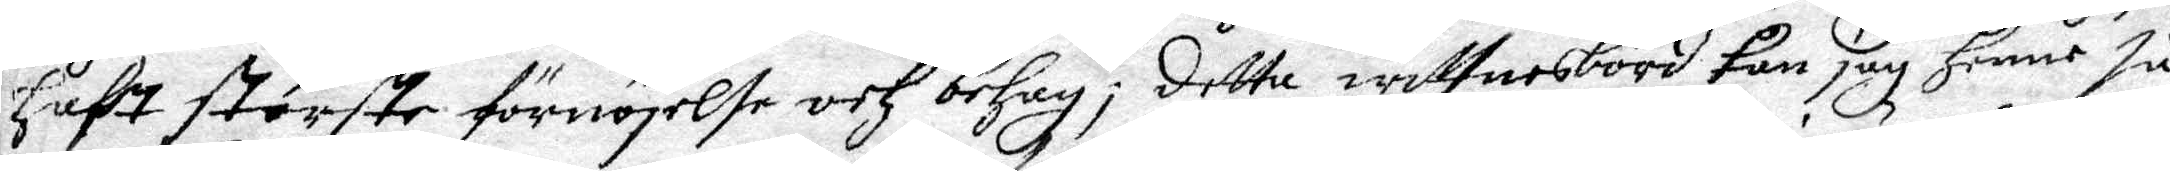haft störste förnöjelse och behag; detta wittnesbörd kan jag henne så
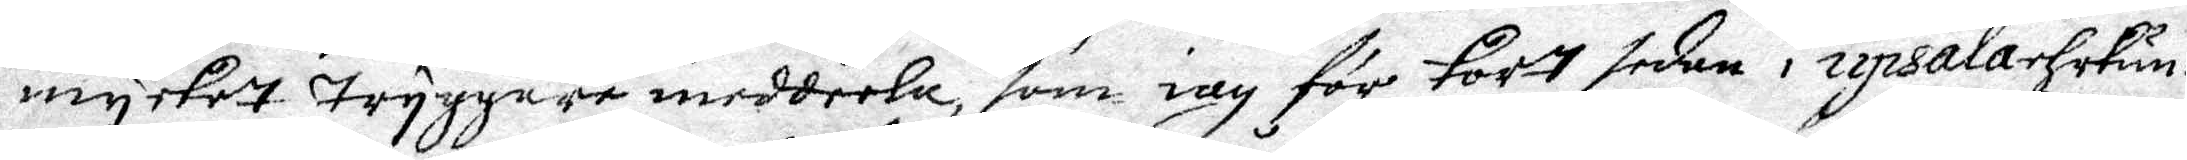mycket tryggare meddela, som iag för kort sedan i Upsala ehrkun¬
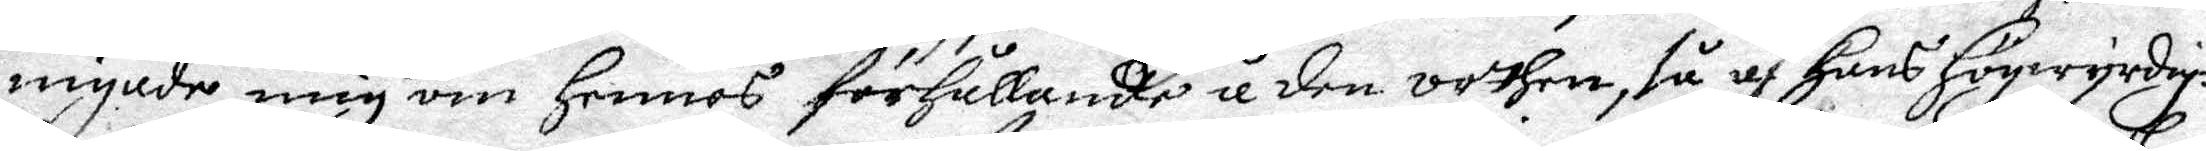mynde mig om hennes förhållande i den orthen, så af Hans Högwyrdig¬
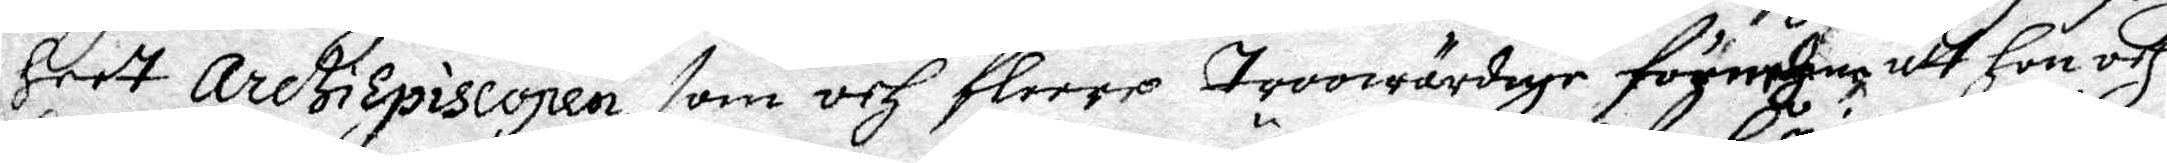heet arctiepiscopen, som och fleere troowärdige förmehne att hon och
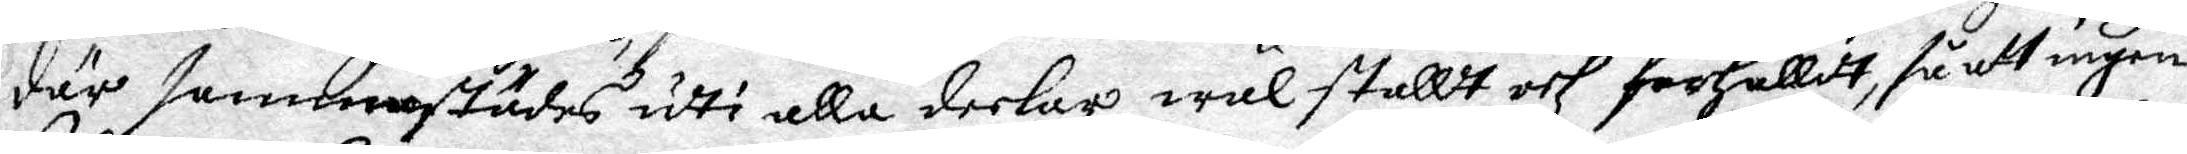där sammanstädes uthi alla deelar wäl ställt och förhållit, så att ingen
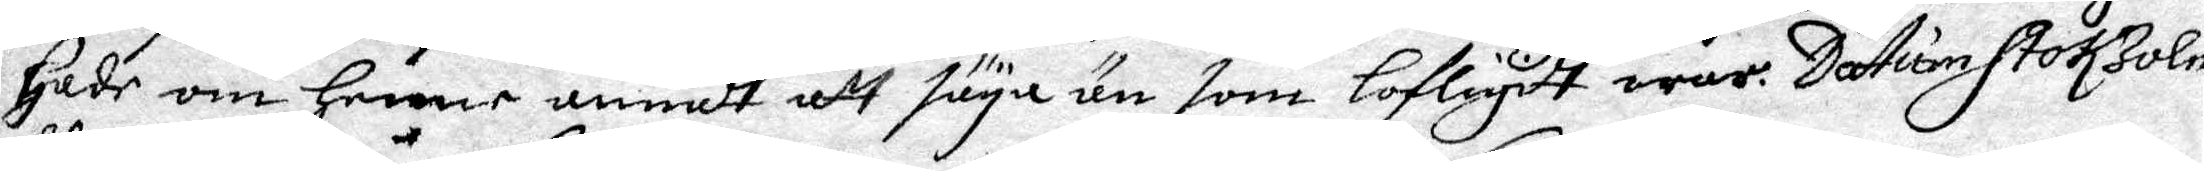hade om henne annat att säya än som lofligitt war. datum Stokholm
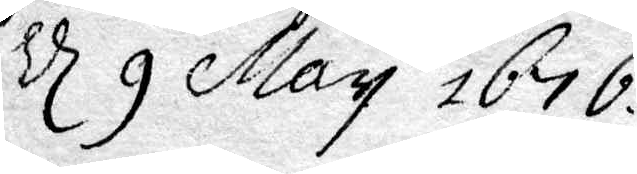d 9 May 1676.
